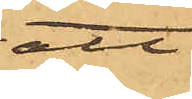att
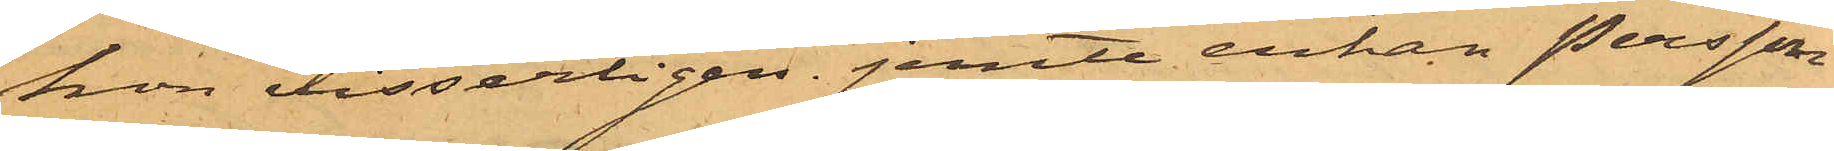hon visserligen jemte enkan Persson
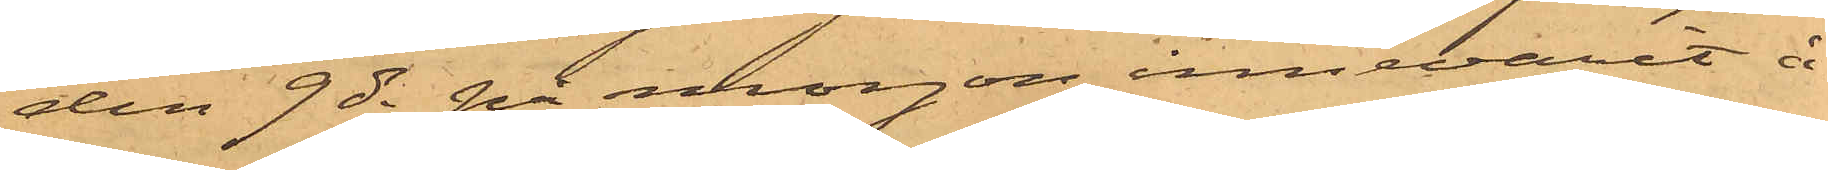den 9 ds på morgon innevarit å
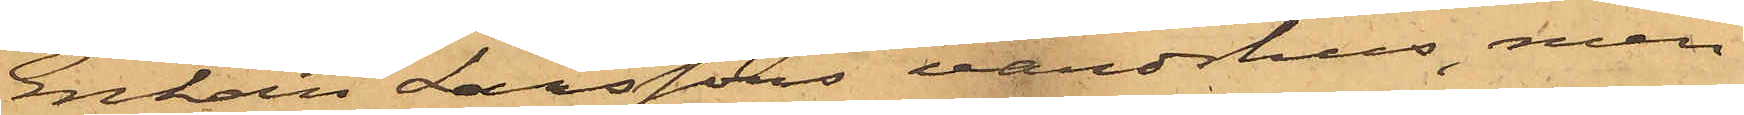Enkan Larssons värdshus, men
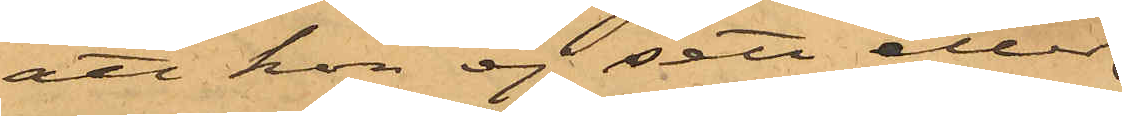att hon ej sett eller
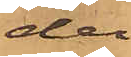der
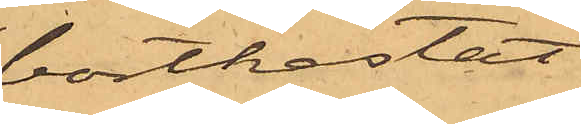bortkastat
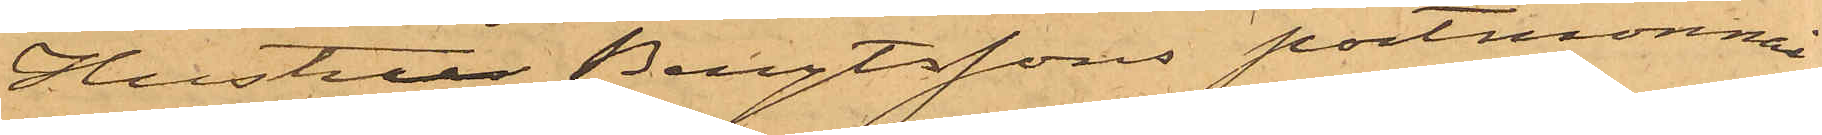Hustru Bengtssons portmonnai
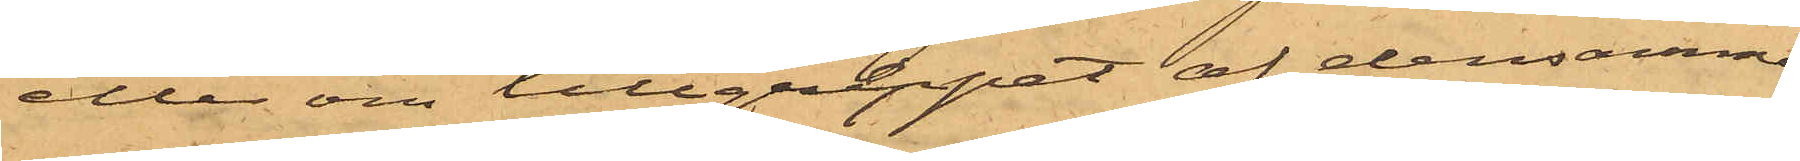eller om tillgreppet af densamma
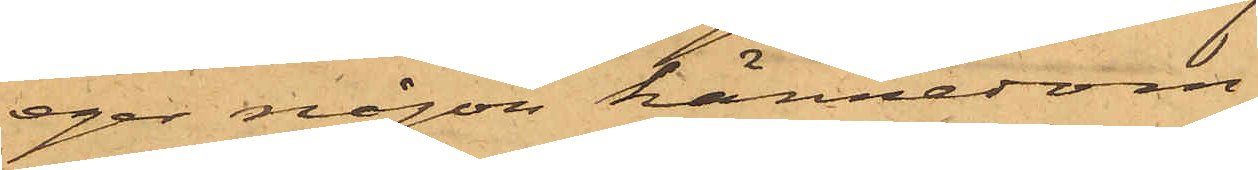eger någon kännedom
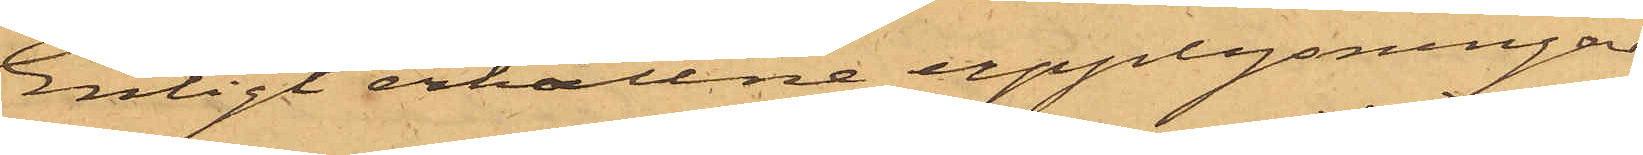Enligt erhållne upplysningar
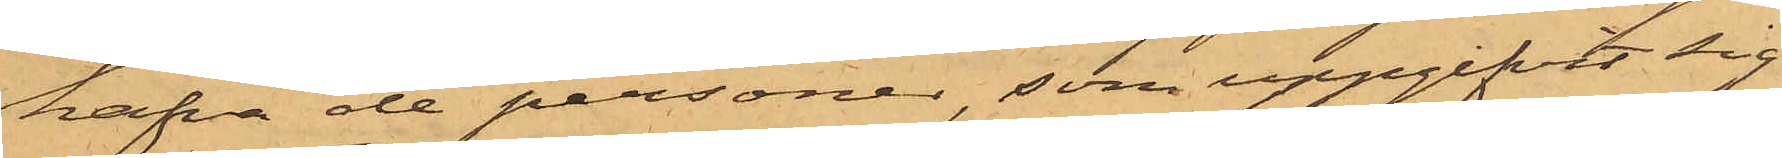hafva de personer, som uppgifvit sig
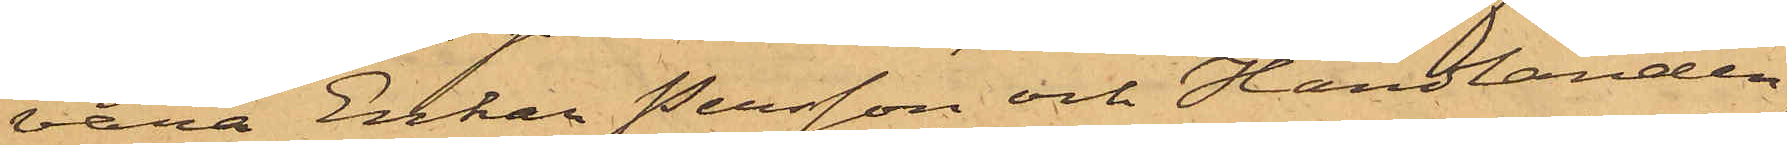vara Enkan Persson och Handlanden
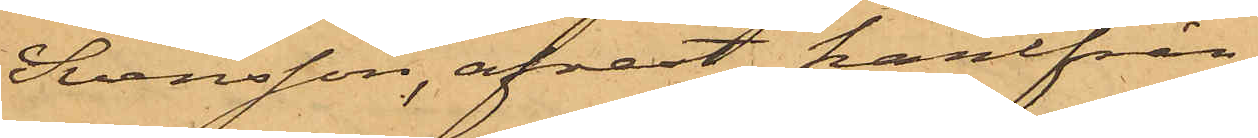Svensson, afrest härifrån
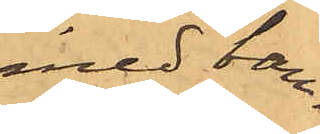med ban¬
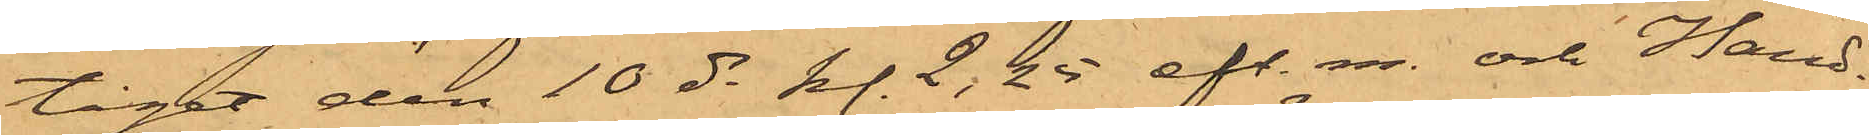tåget den 10 ds kl. 2,25 eft. m. och Hand¬
